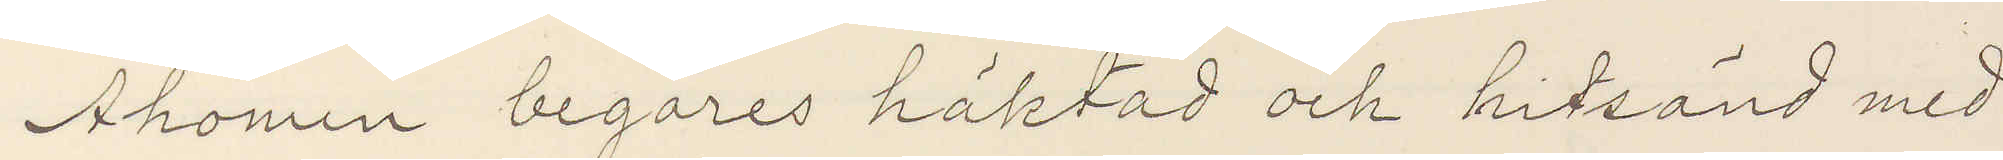Ahonen begäres häktad och hitsänd med
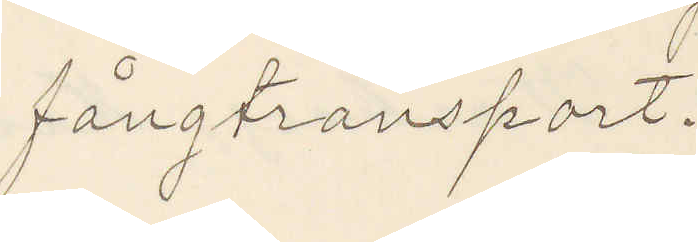fångtransport.
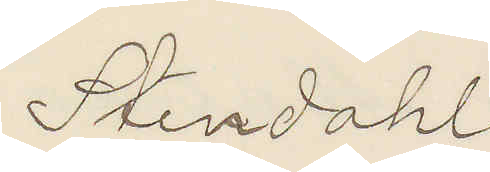Stendahl
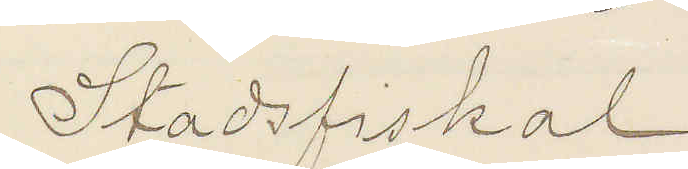Stadsfiskal.
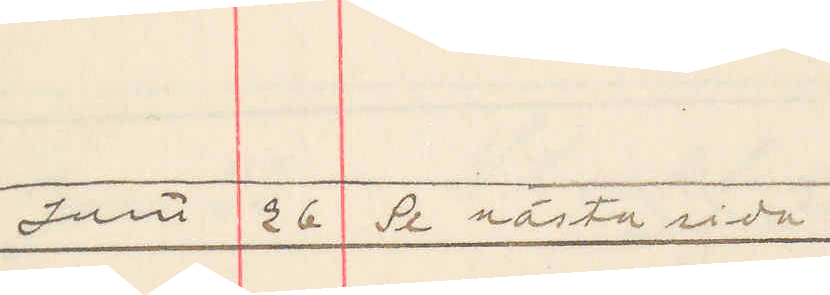Juni 26 Se nästa sida
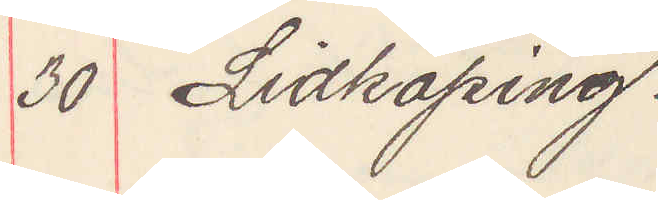30 Lidköping.
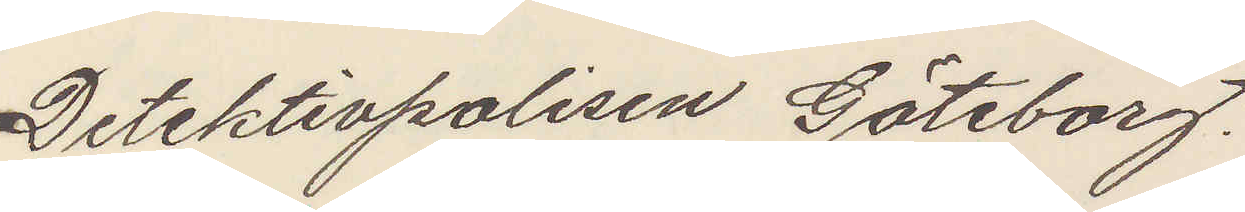Detektivpolisen Göteborg.
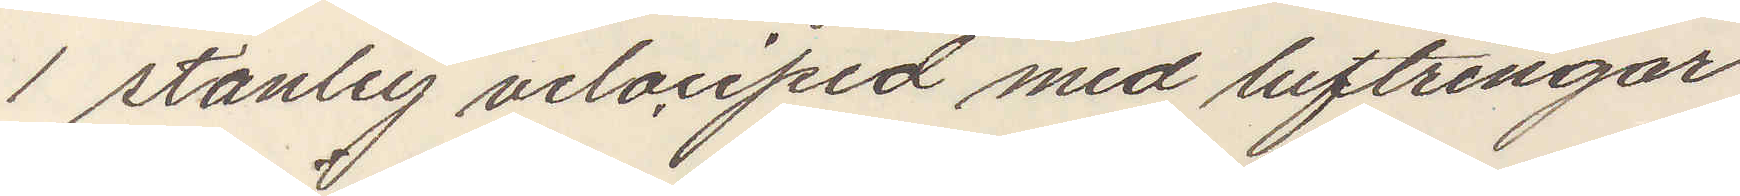1 stanley velociped med luftringar
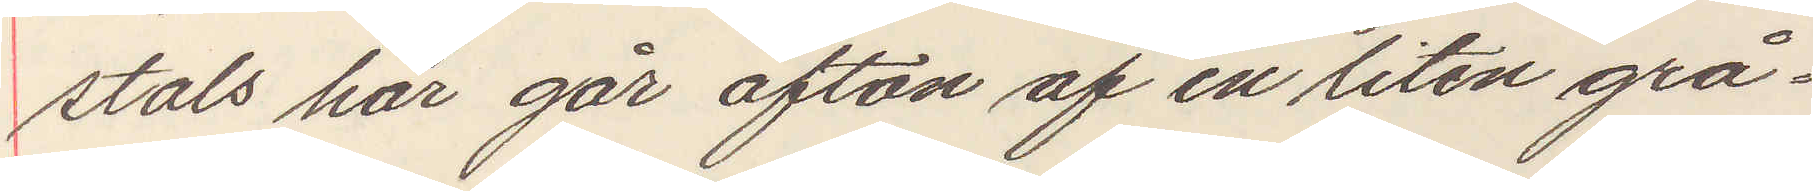stals här går afton af en liten grå¬
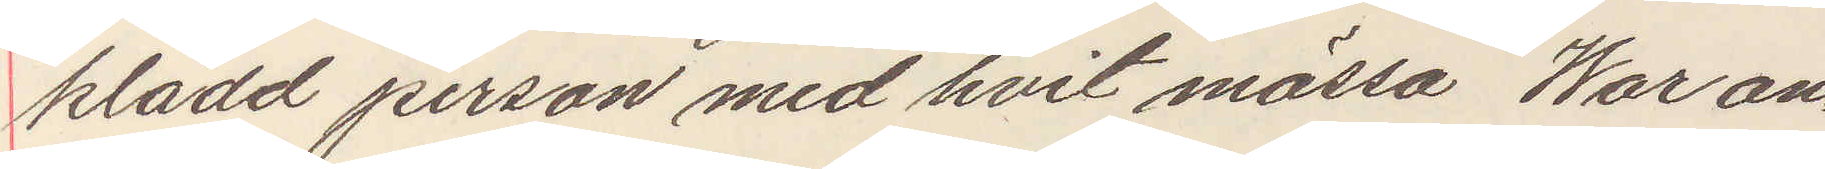klädd person med hvit mössa War an¬
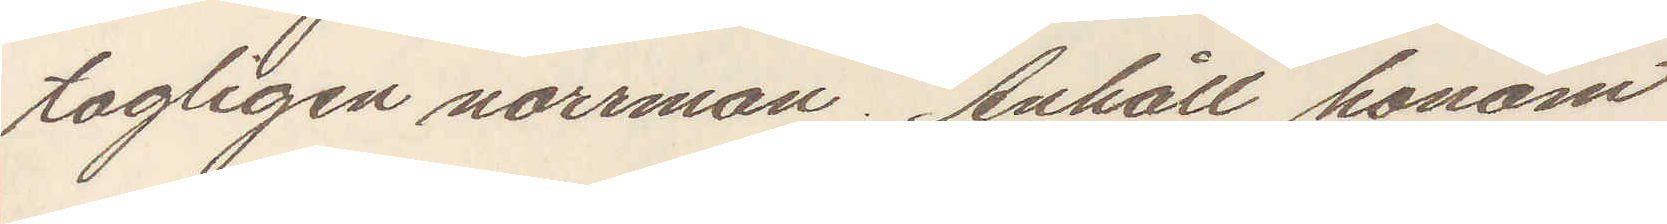tagligen norrman. Anhåll honom
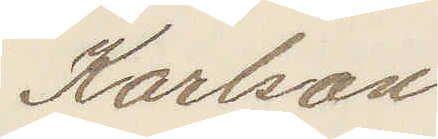Karlson
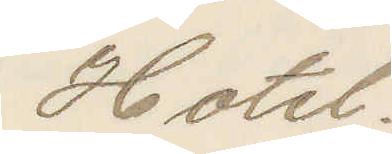Hotel.
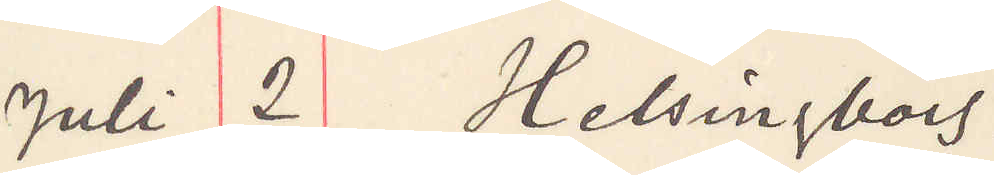Juli 2 Helsingborg
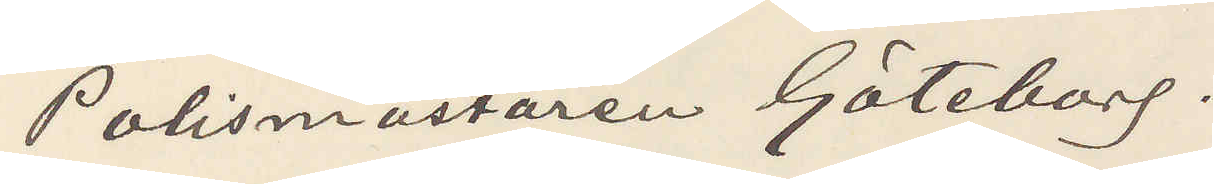Polismästaren Göteborg.
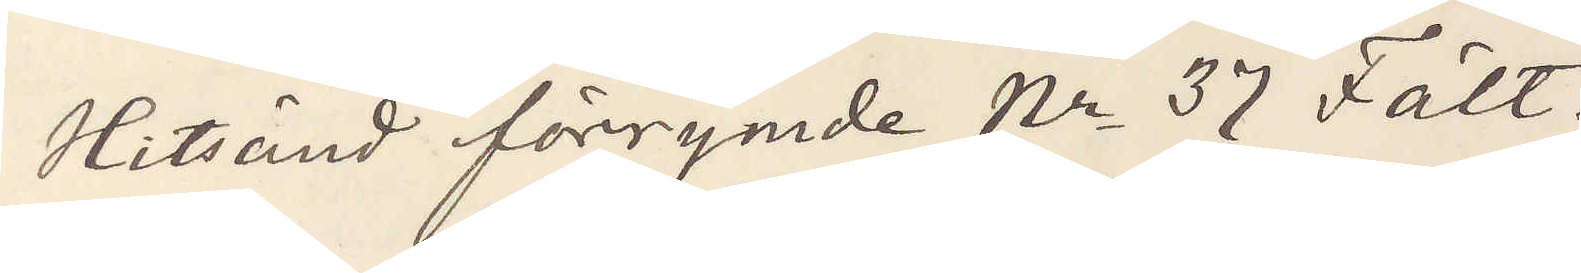Hitsänd förrymde No 37 Fält.
